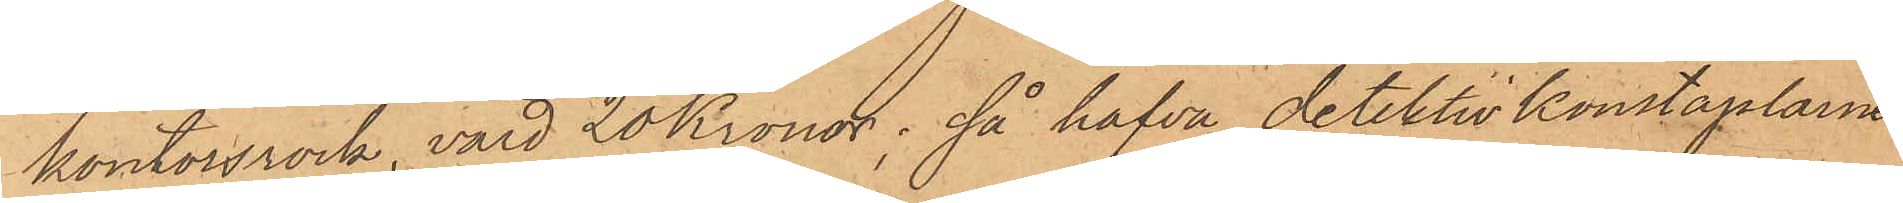kontorsrock, värd 20 Kronor; så hafva detektivkonstaplarne
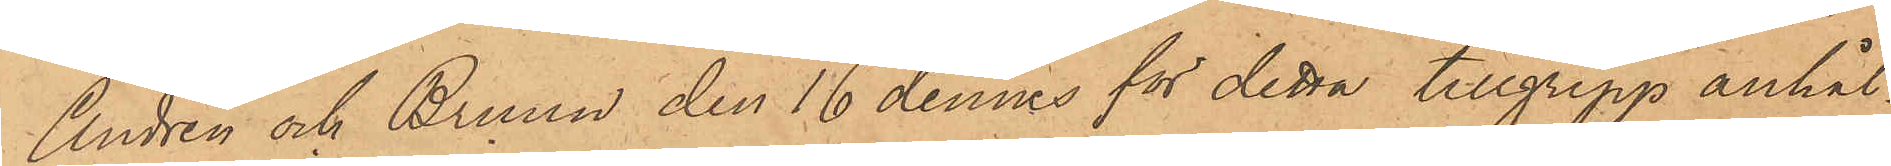Andrén och Bruun den 16 dennes för detta tillgrepp anhål¬
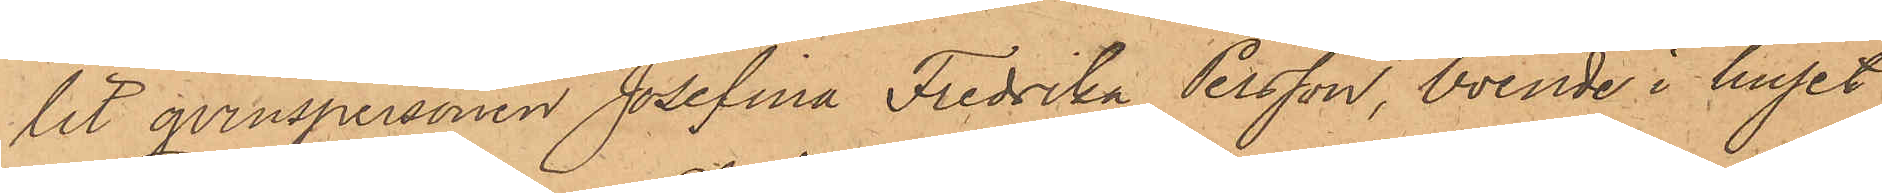lit qvinspersonen Josefina Fredrika Persson, boende i huset
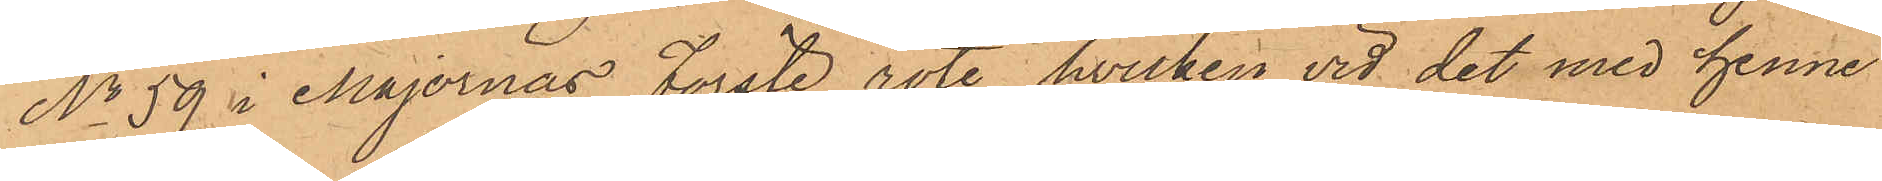No 59 i Majornas Förste rote, hvilken vid det med henne
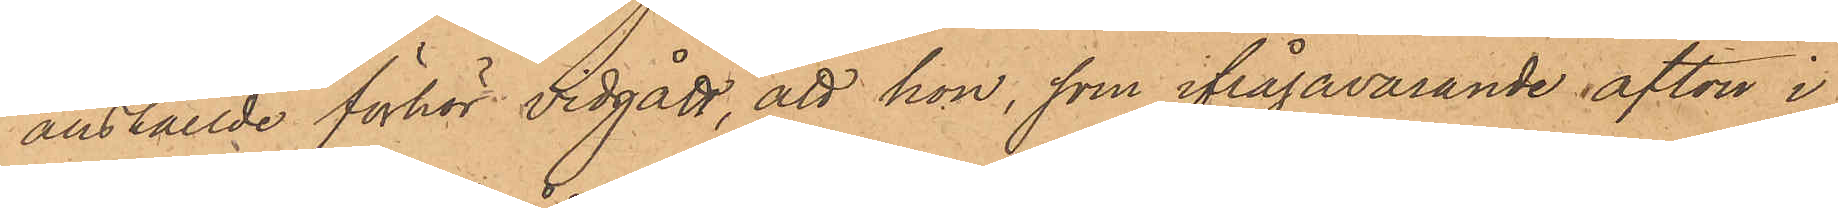anställde förhör vidgått, att hon, som ifrågavarande afton i
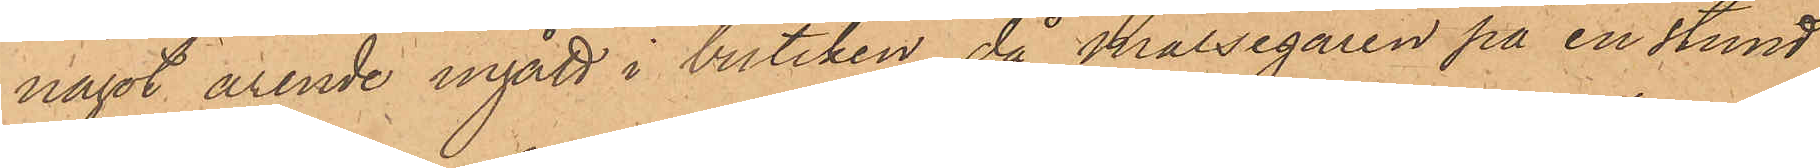något ärende ingått i butiken, då målsegaren på en stund
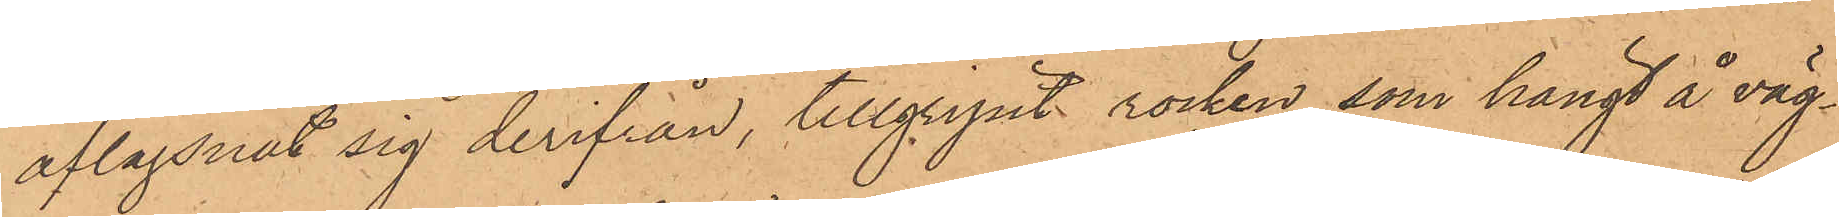aflägsnat sig derifrån, tillgripit rocken, som hängt å väg¬
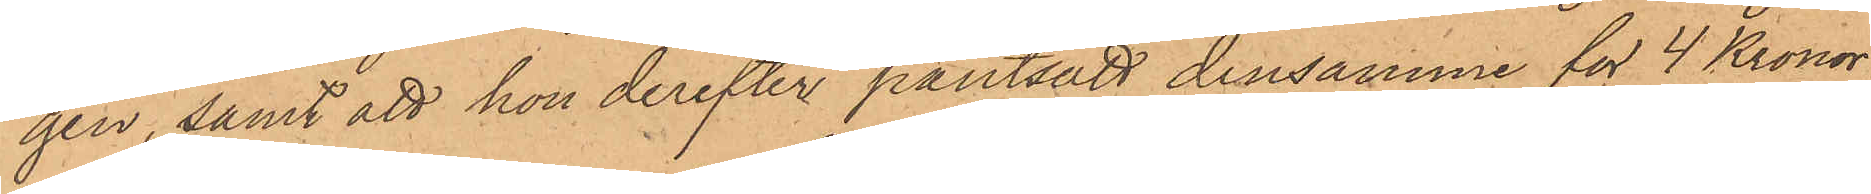gen, samt att hon derefter pantsatt densamme för 4 Kronor
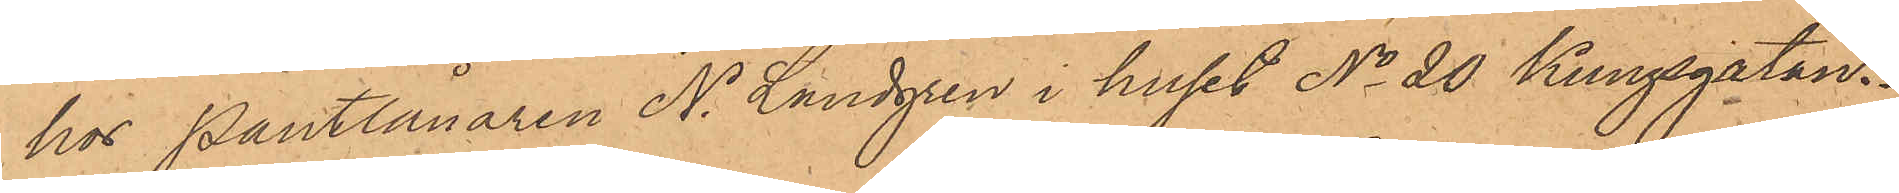hos Pantlånaren N. Lundgren i huset No 20 Kungsgatan.
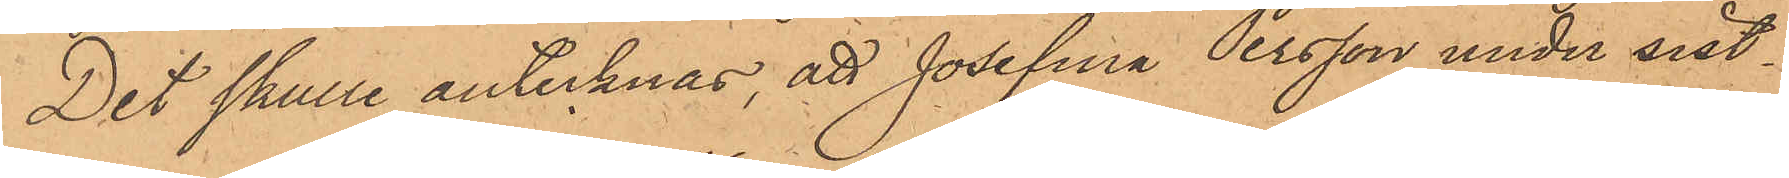Det skulle antecknas, att Josefina Persson under sist¬
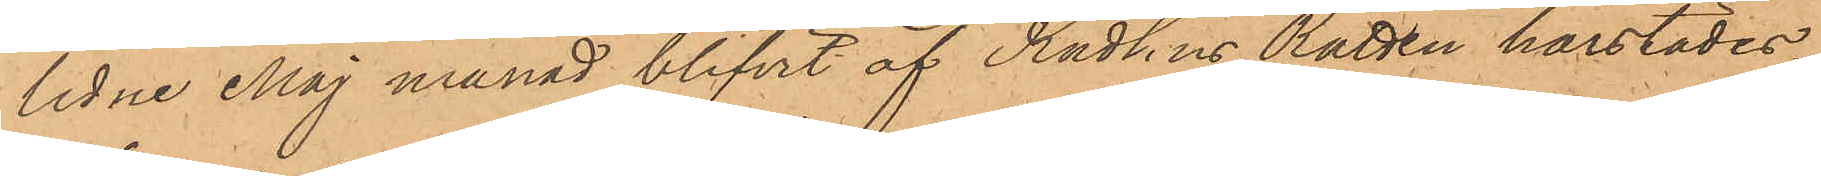lidne Maj månad blifvit af Rådhus Rätten härstädes
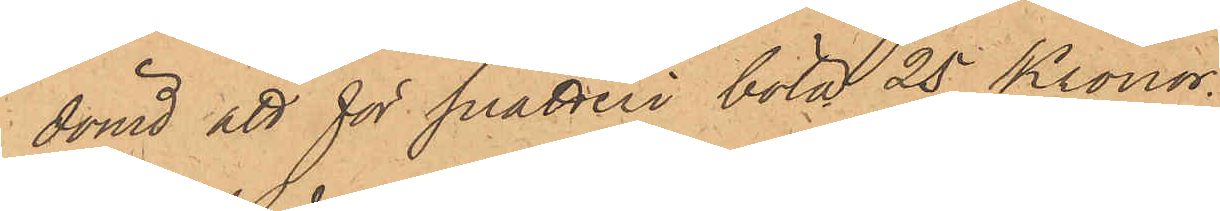dömd att för snatteri böta 25 Kronor.
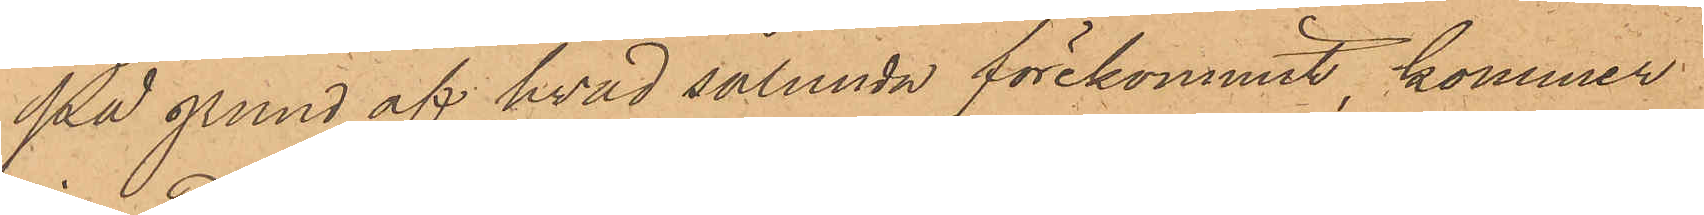På grund af hvad sålunda förekommit, kommer
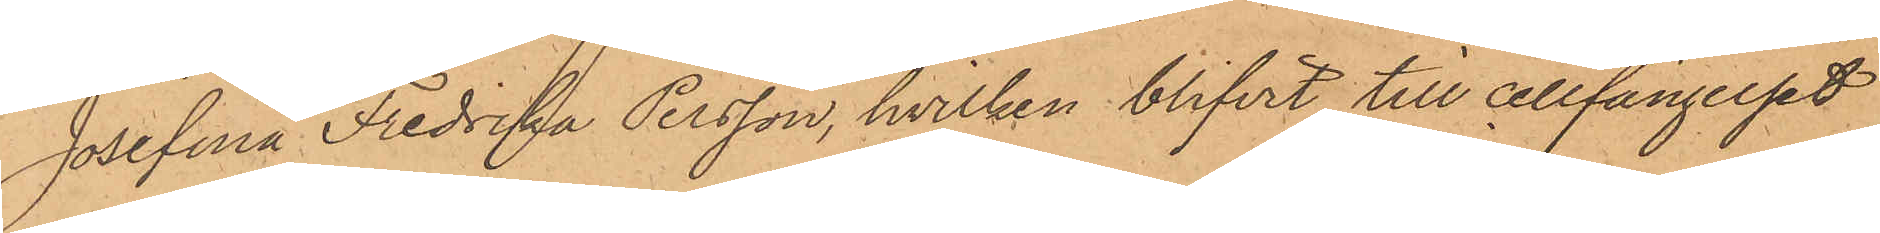Josefina Fredrika Persson, hvilken blifvit till cellfängelset
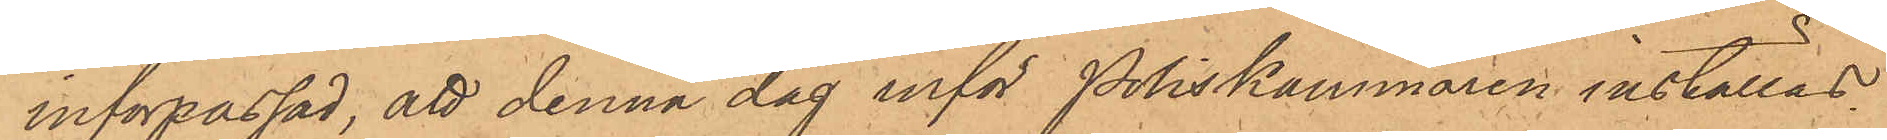införpassad, att denna dag inför Poliskammaren inställas.
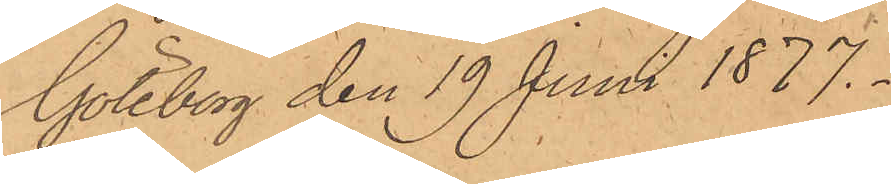Göteborg den 19 Juni 1877.
